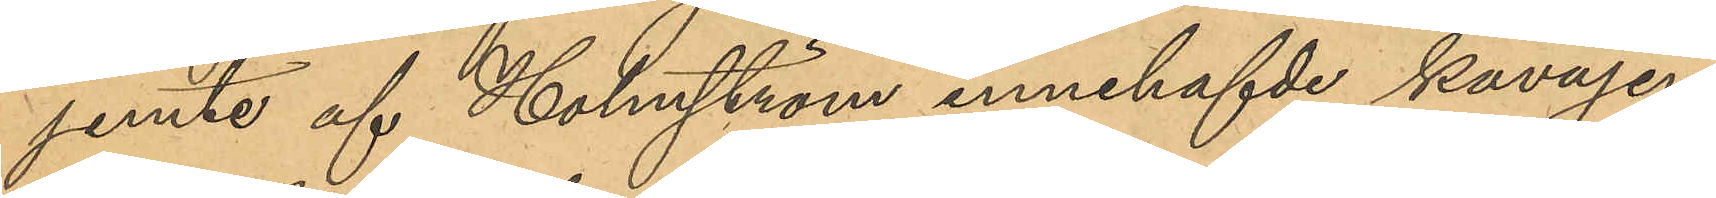jemte af Holmström innehafvde kavajen
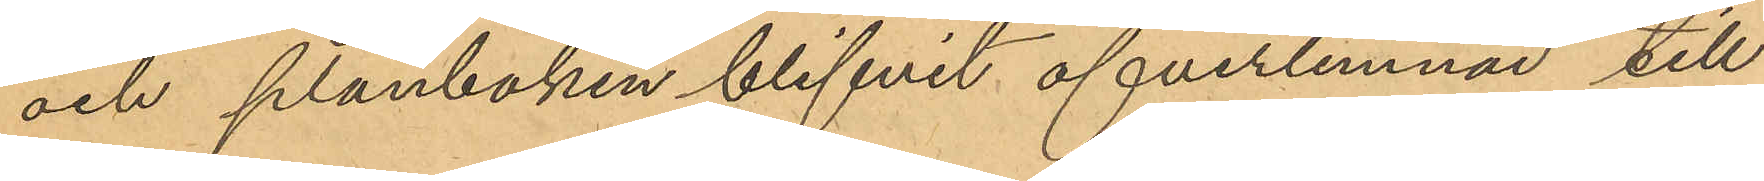och plånboken blifvit öfverlemnad till
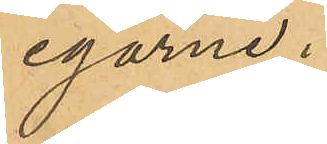egarne.
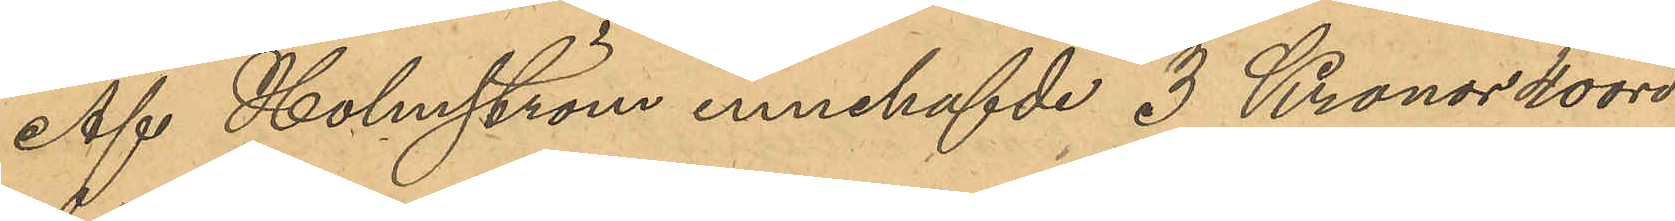Af Holmström innehafvde 3 Kronor 40 öre
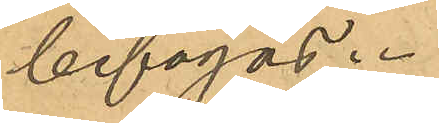bifogas.
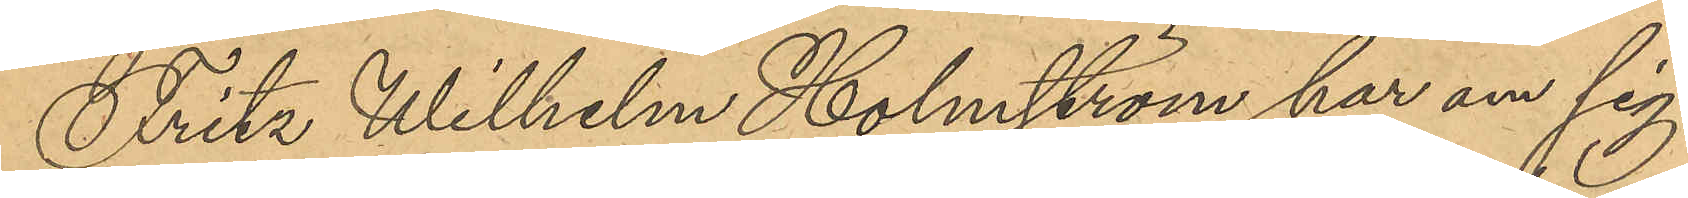Fritz Wilhelm Holmström har om sig
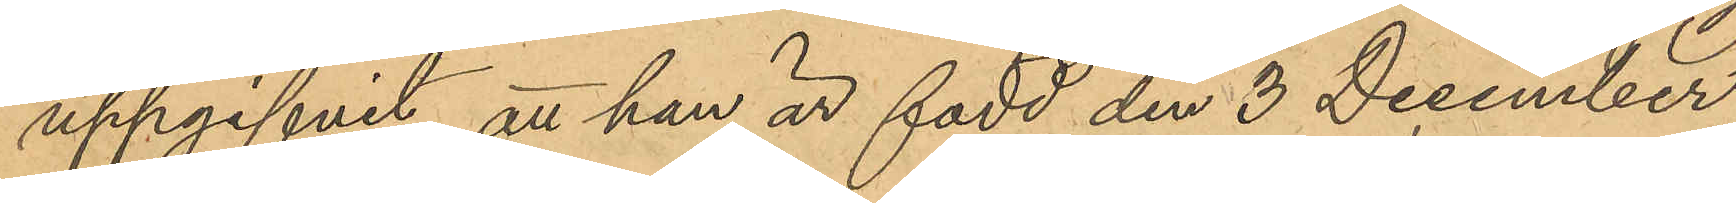uppgifvit att han är född den 3 December
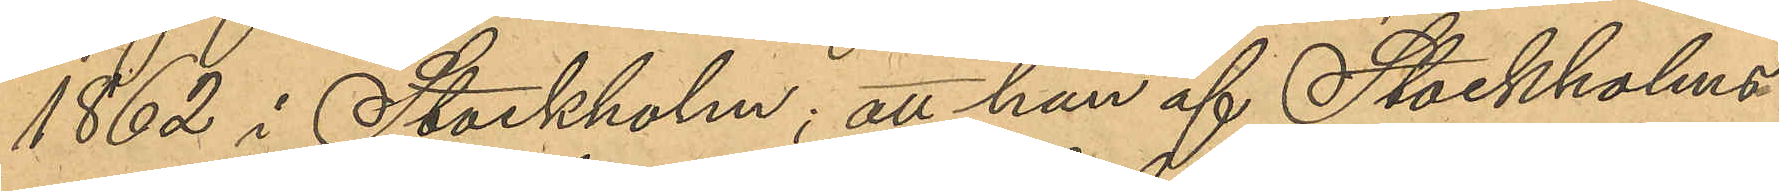1862 i Stockholm; att han af Stockholms
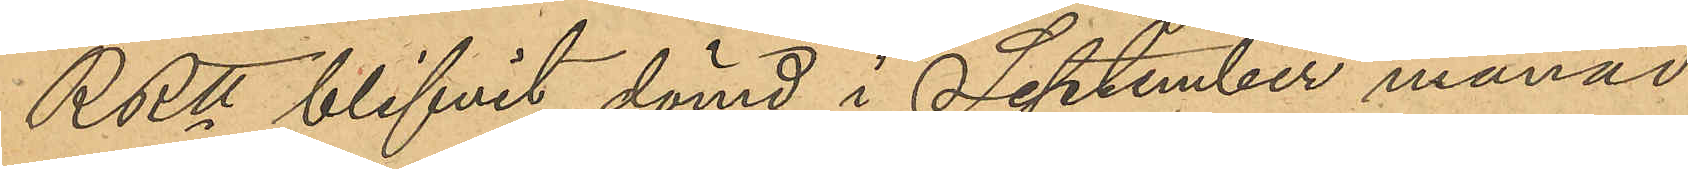RRtt blifvit dömd i September månad
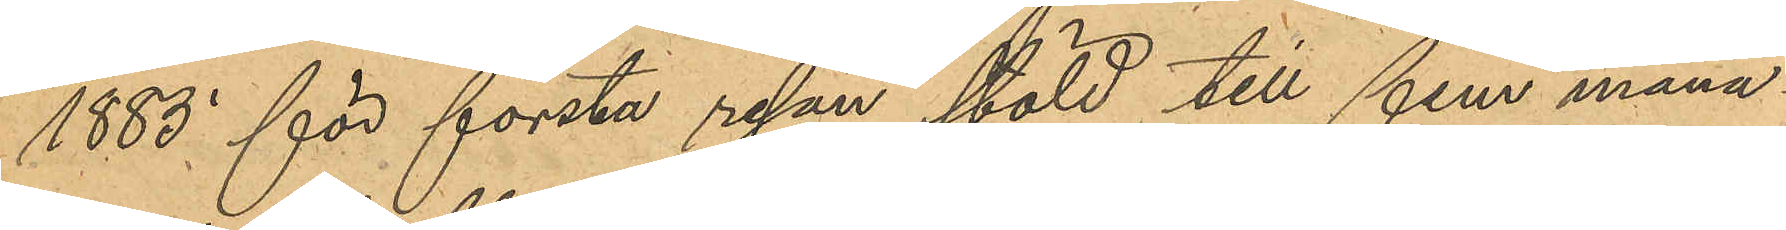1885 för första resan stöld till fem måna¬
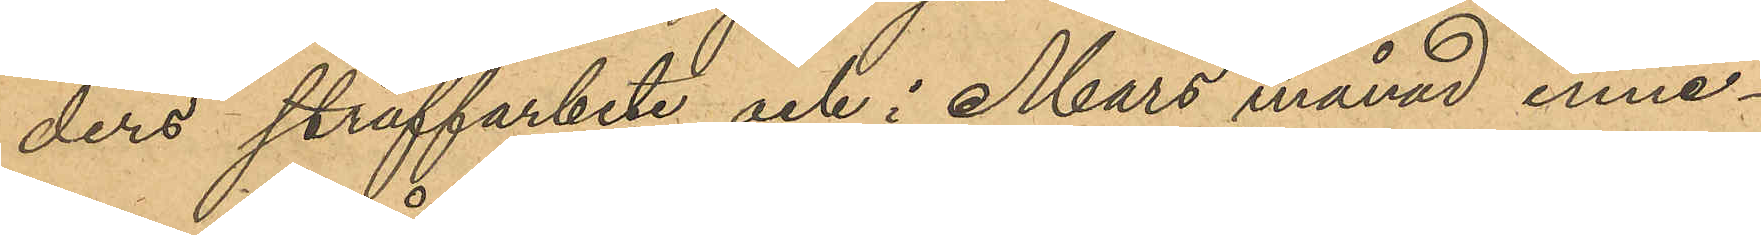ders straffarbete och i Mars månad inne¬
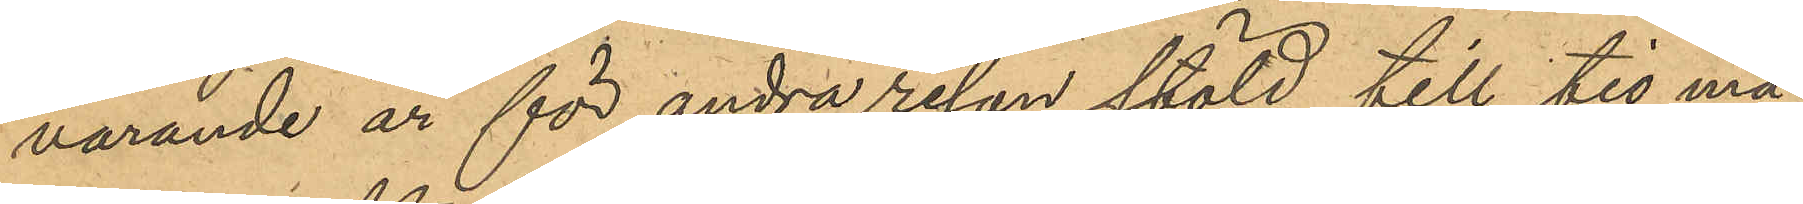varande år för andra resan stöld till tio må¬
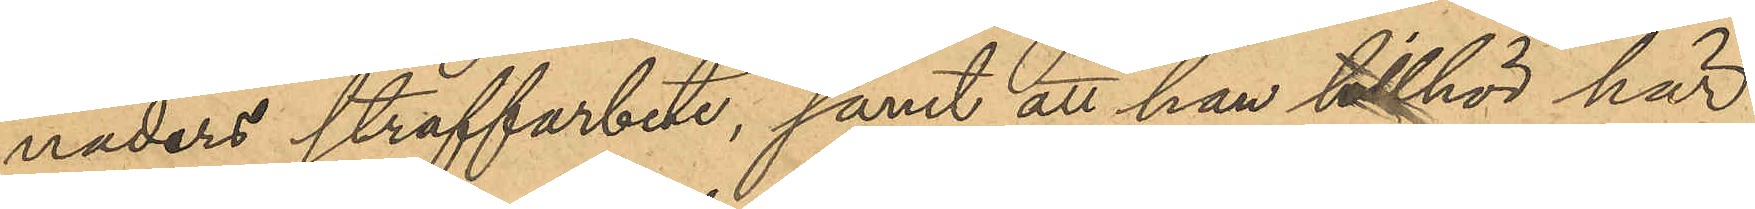naders straffarbete, samt att han tillhör här¬
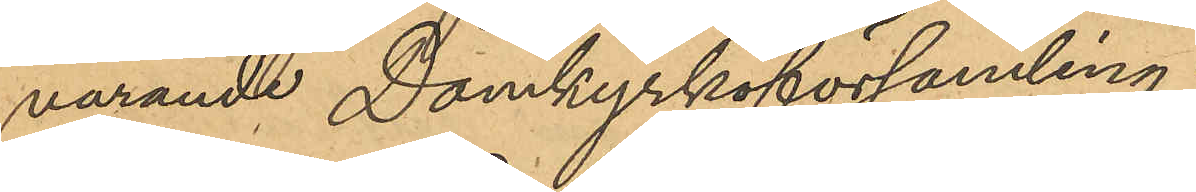varande Domkyrkoförsamling.
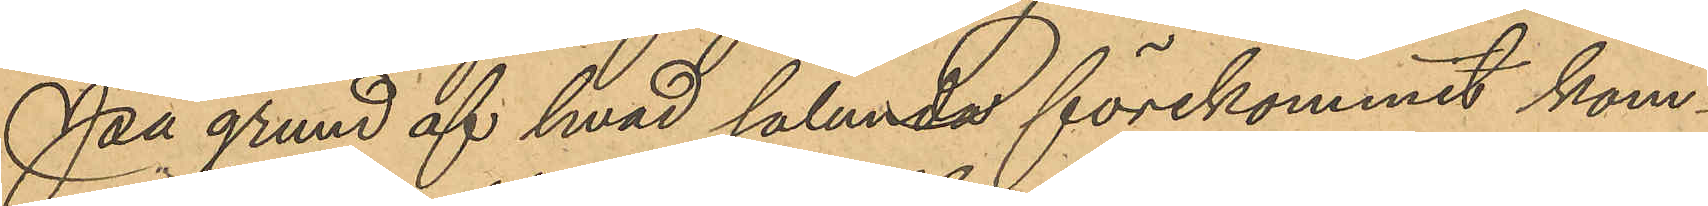På grund af hvad sålunda förekommit kom¬
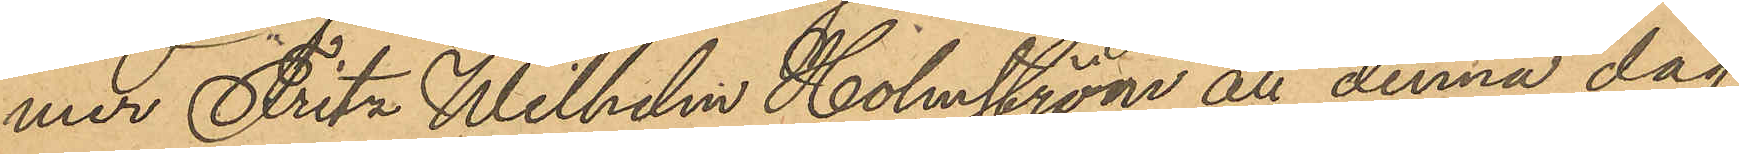mer Fritz Wilhelm Holmström att denna dag
